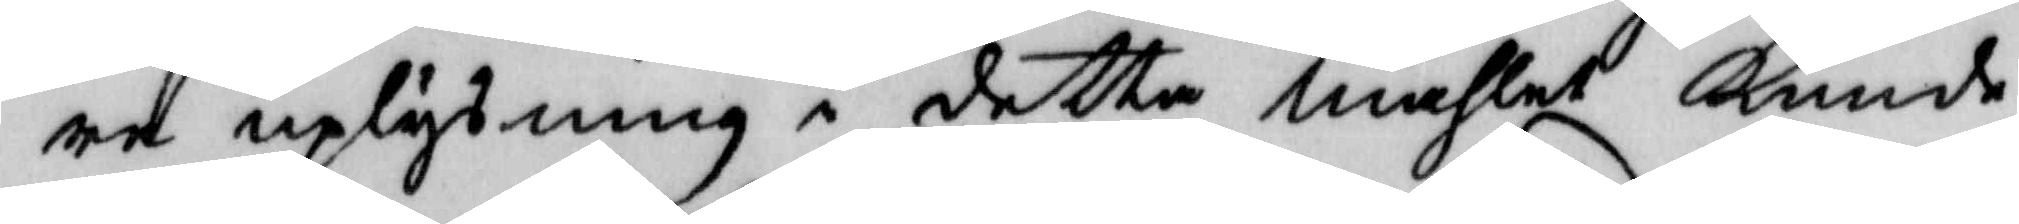re uplysning i detta måhlet Kunde
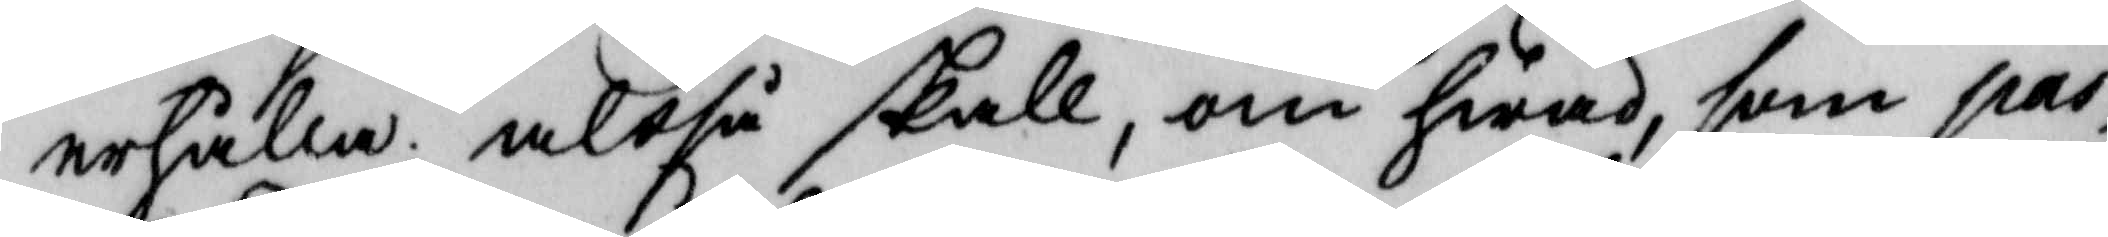erhålla; altså skall, om hwad, som pas¬
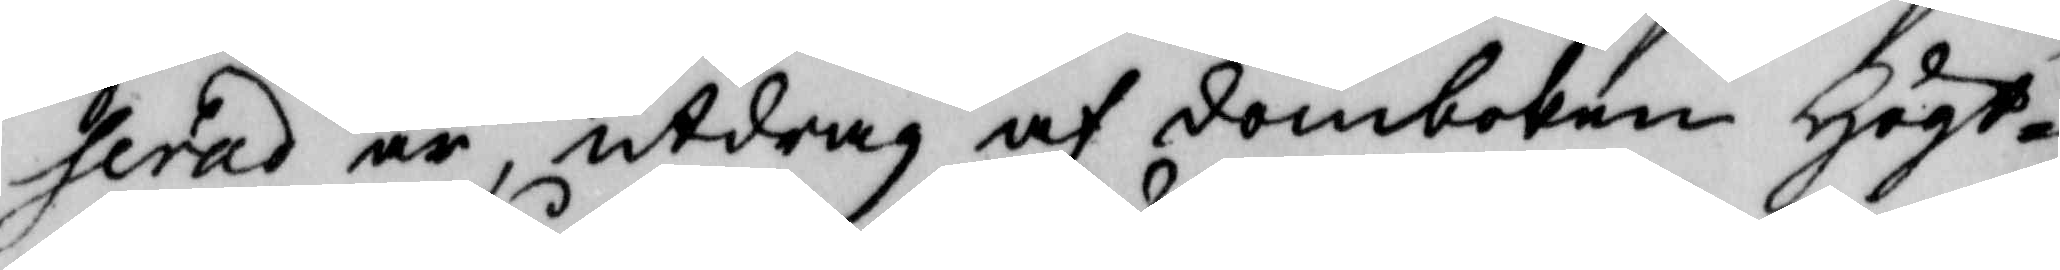serat är, utdrag af domboken Högt¬
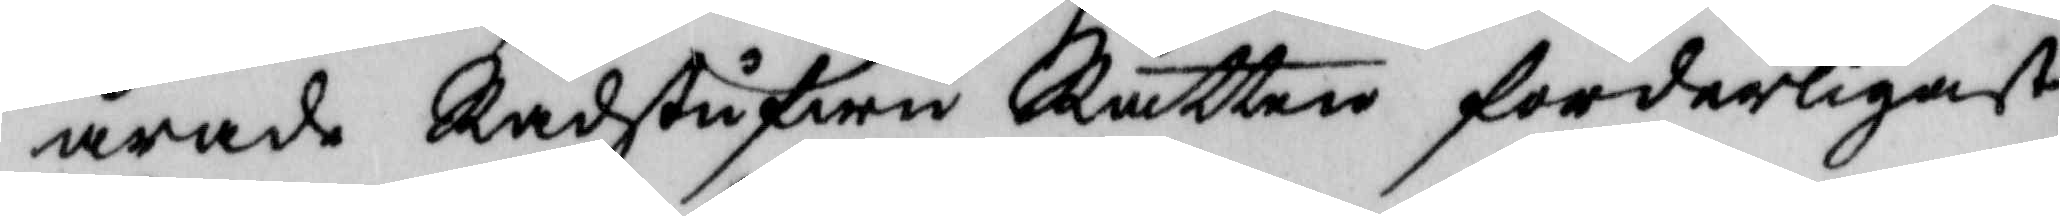ärade Rådstufwu Rätten forderligast
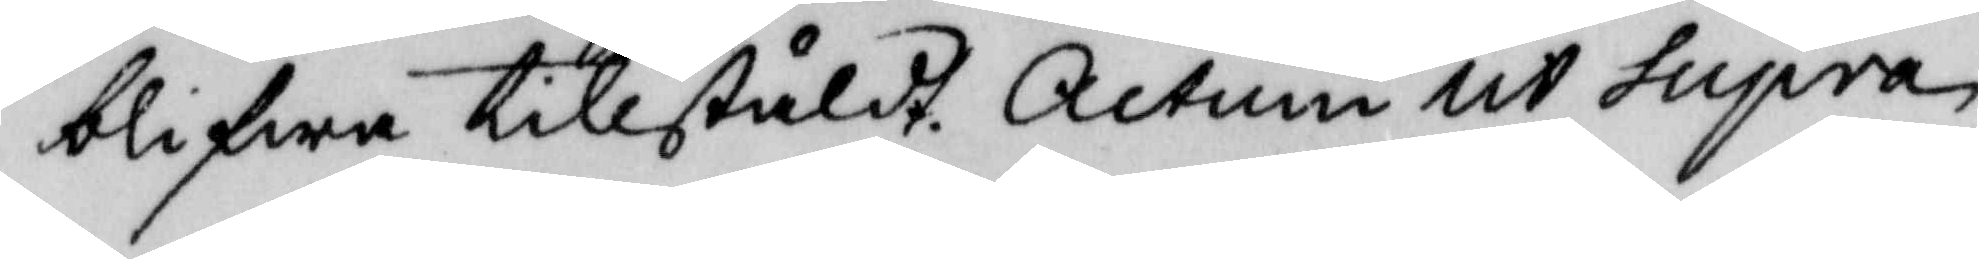blifwa tillstäldt. Actum ut supra
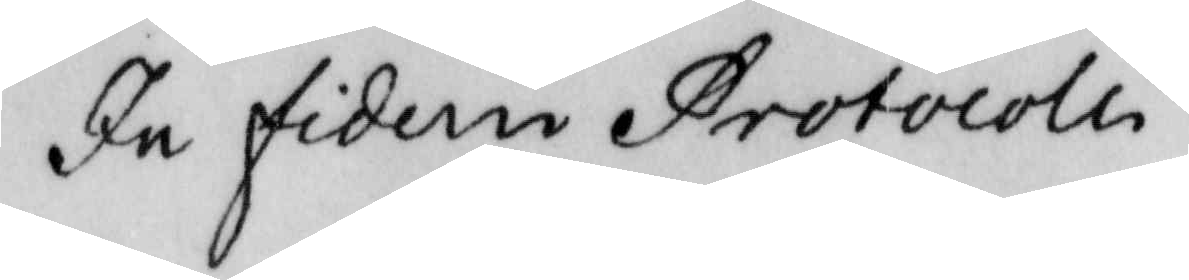In fidem Protocolli
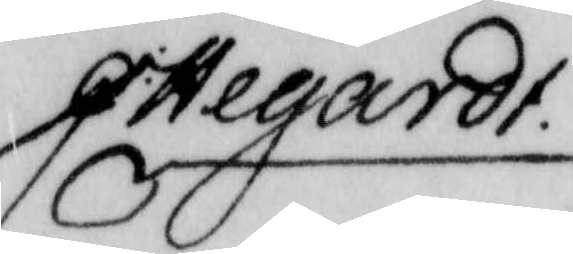G: Hegardt.
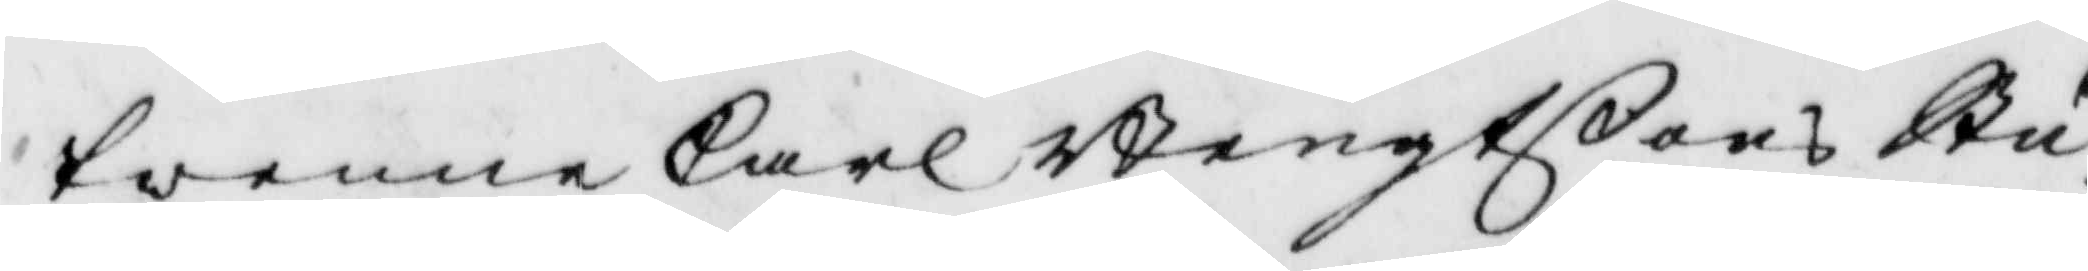twenne Carl Bengtßons Stu¬
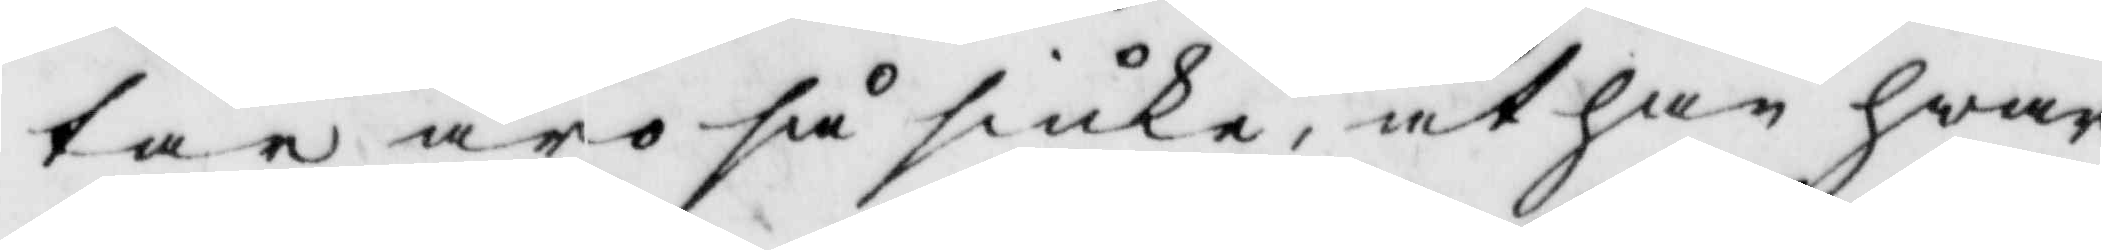tar äro så siuka, at han hwar
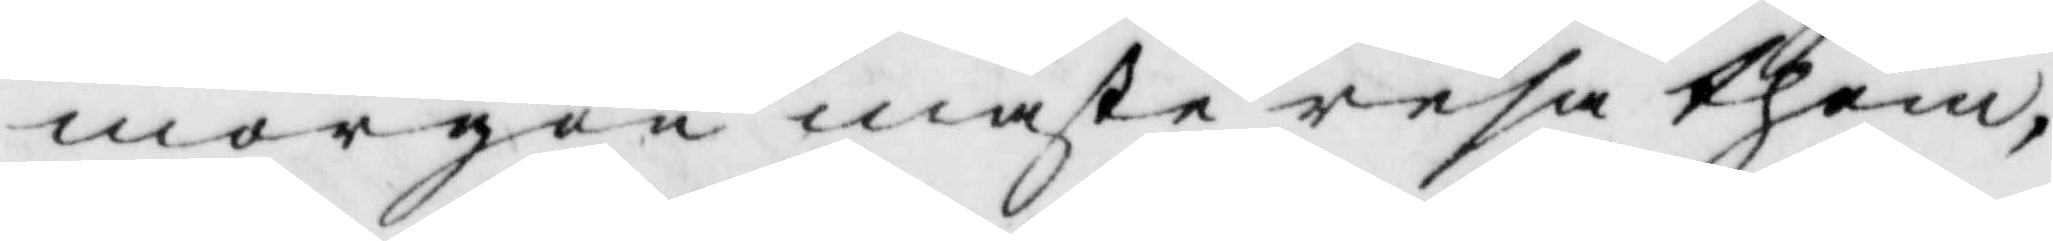morgon måste resa them,
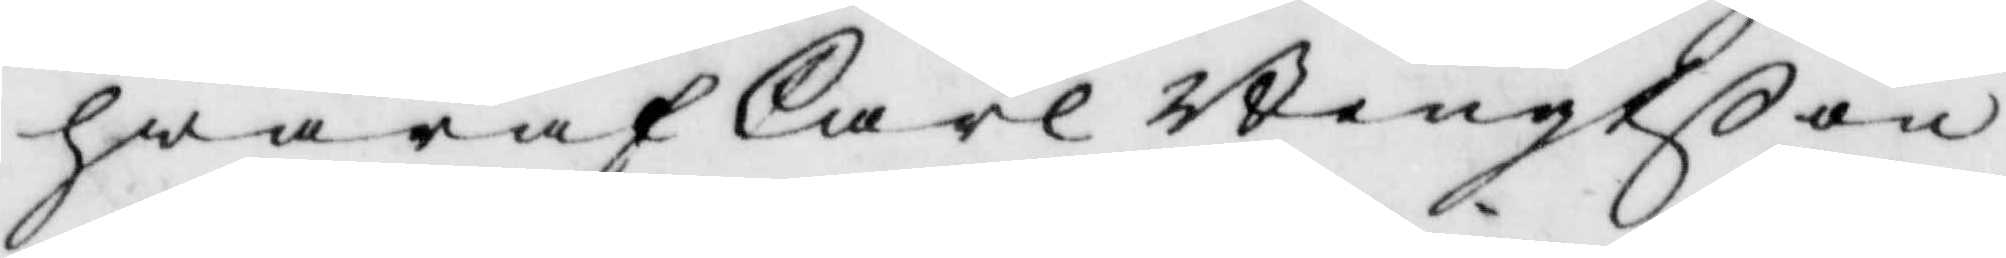hwaraf Carl Bengtßon
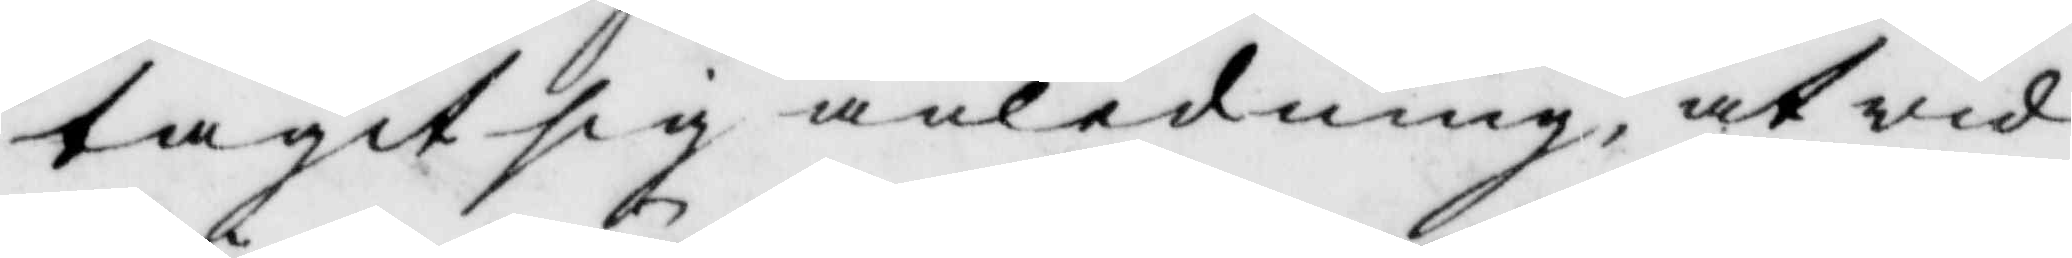tagit sig anledninge, at wid
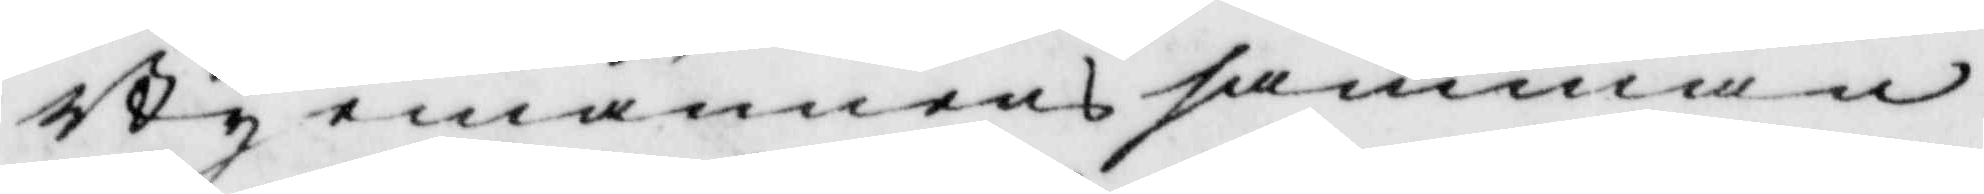Byemännens samman¬
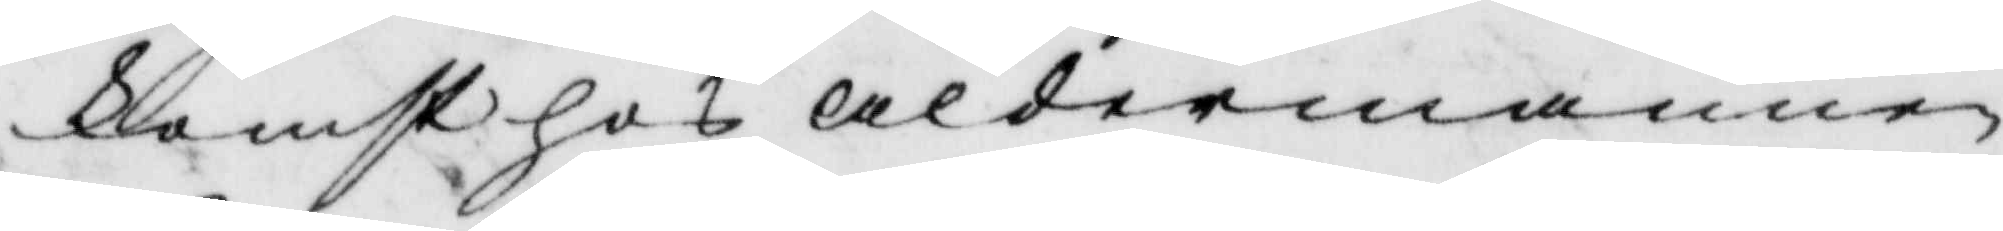komst hos åldermanen
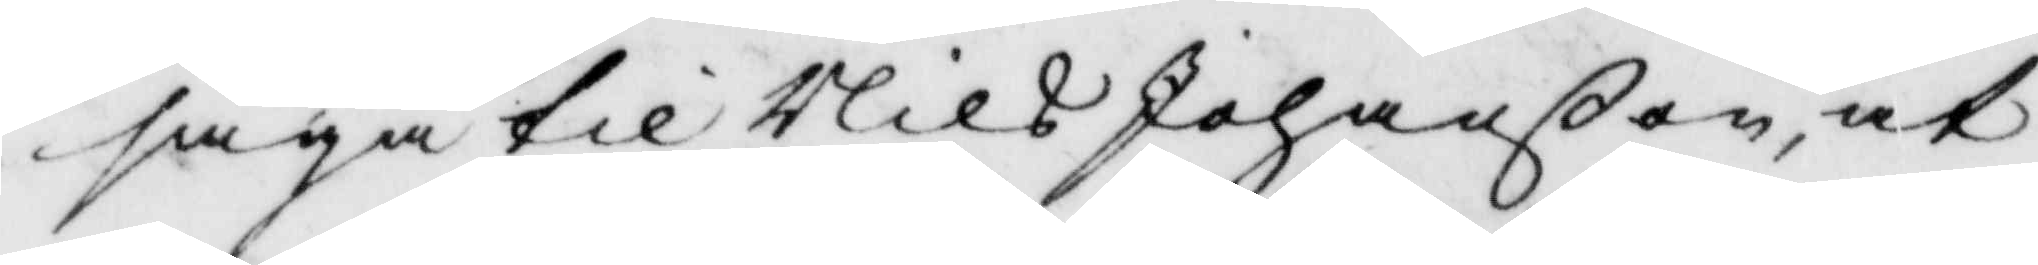säga till Nils Johanßon, at
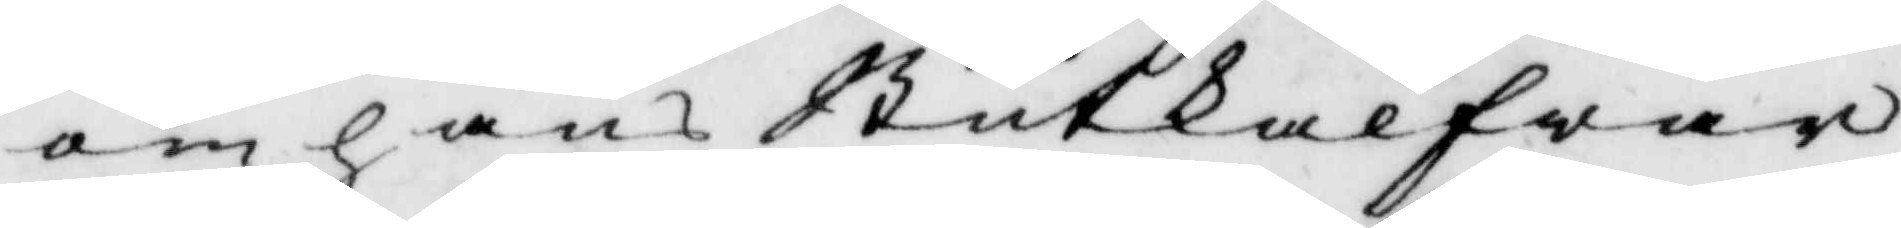om hans Stutkalfwar
